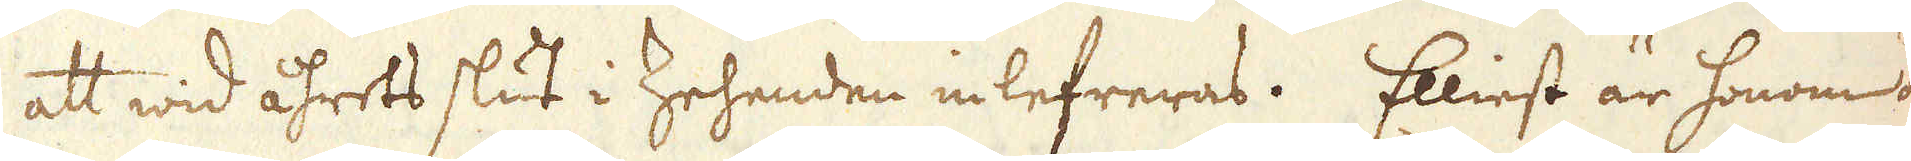att wid åhrets slut i Zehenden inlefreras. Elliest är honom ock
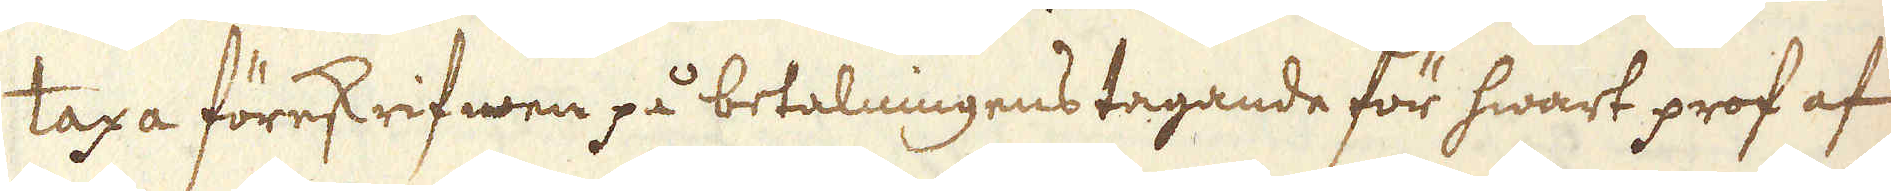taxa föreskrifwen på betalningens tagande för hwart prof af
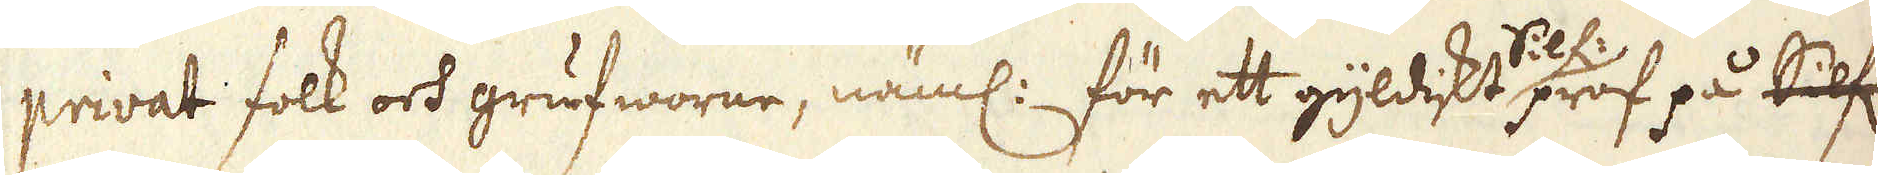privat folk och grufworne, näml: för ett gyldiskt Silf: prof på Silf:
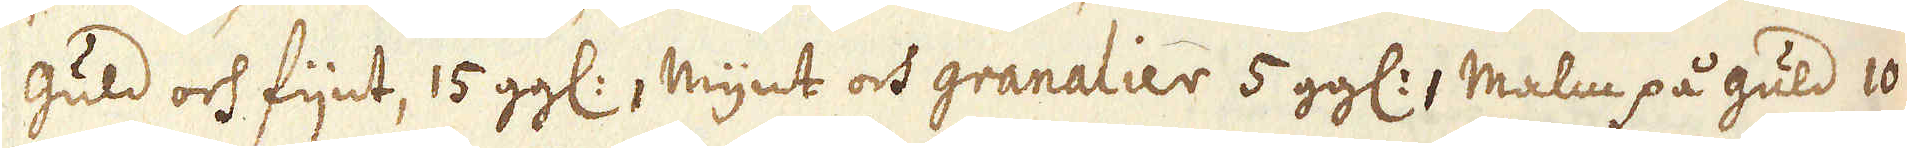Guld och fijnt, 15 gg:, Mynt och granalier 5 gg:1 Malm på guld 10
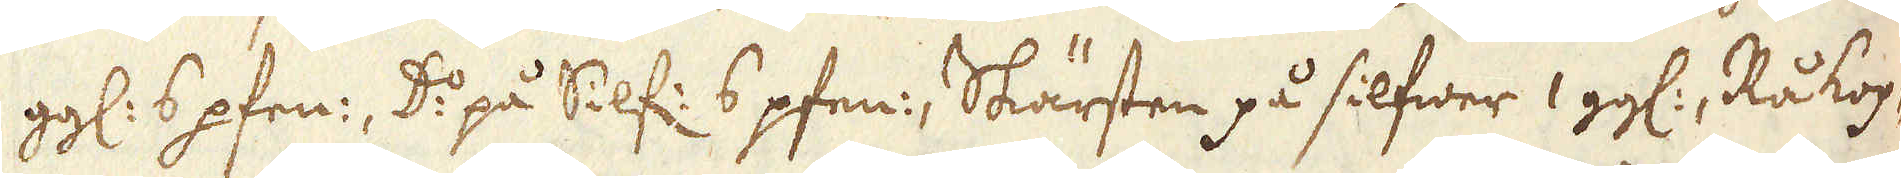gg: 6 pfen:, D:o på Silf: 6 pfen:, Skärsten på silfwer 1 gg:, Rå kop-
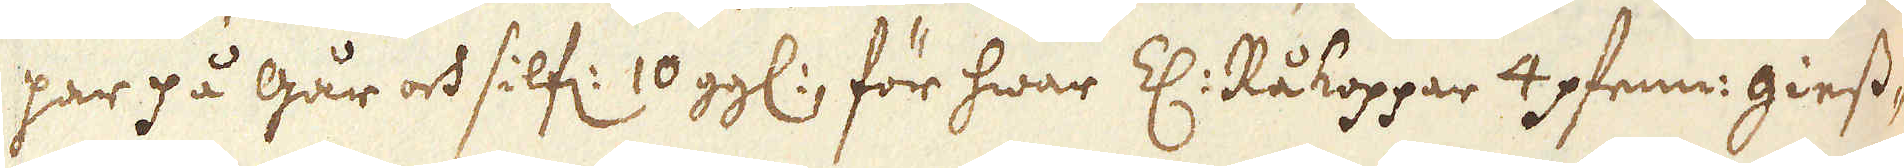par på går och silf: 10 gg:, för hwar Z: Råkoppar 4 pfenn: giess-
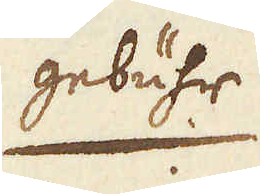gebühr
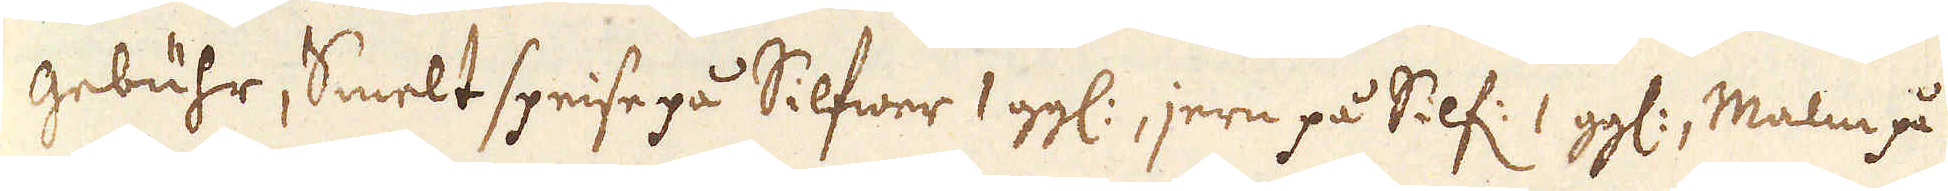gebühr, Smelt speise på Silfwer 1 gg:, jern på Silf: 1 gg:, Malm på
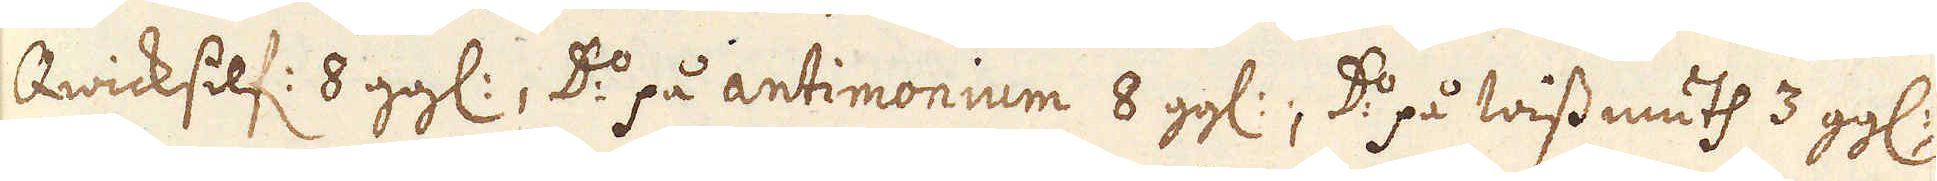Qwicksilf: 8 gg:, D:o på antimonium 8 gg:; D:o på wissmuth 3 gg:
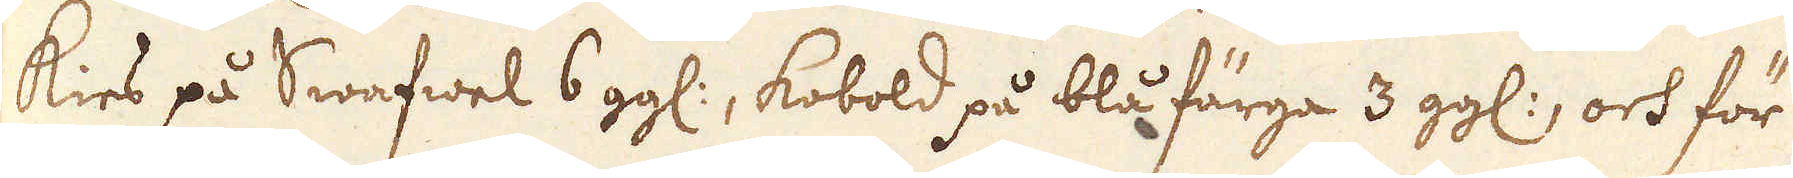kies på Swafwel 6 gg:, kobold på blå färga 3 gg:, och för
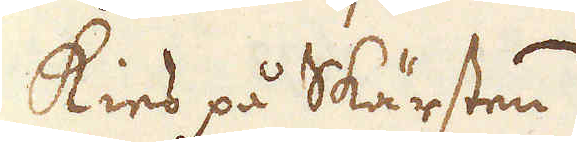kies på Skärsten.
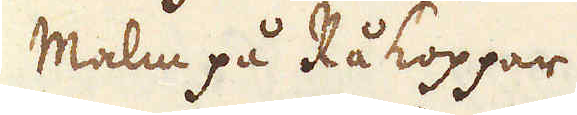Malm på Rå koppar
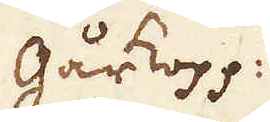Gårkopp.
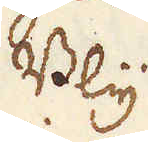Bly
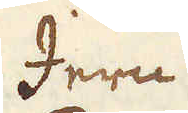Jern
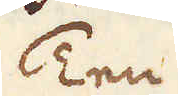Ten
